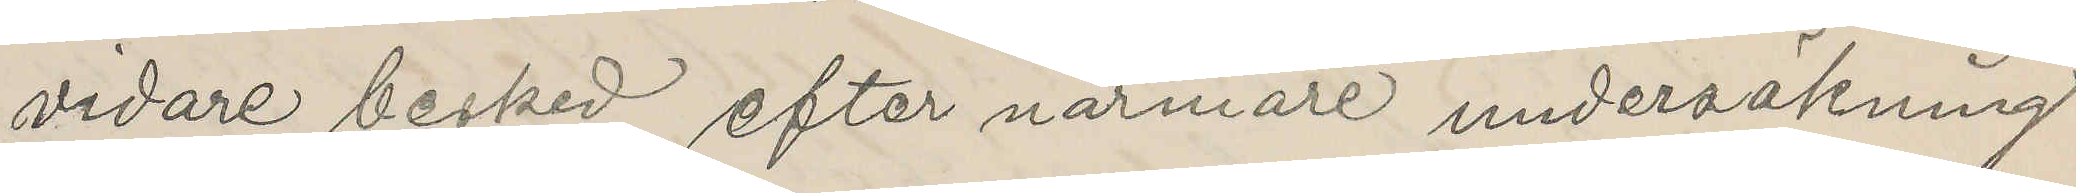vidare besked efter närmare undersökning
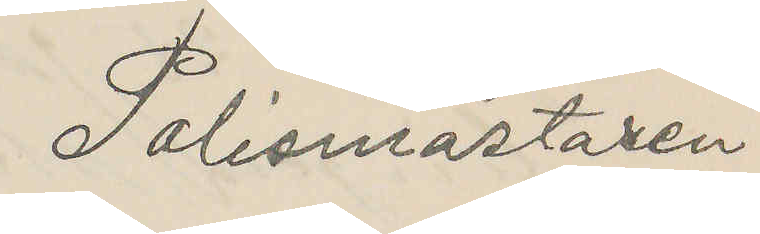Polismästaren
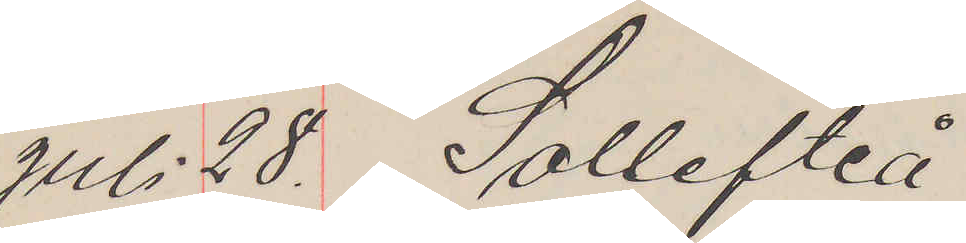Juli 28. Sollefteå
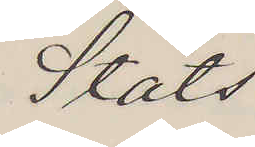Stats.
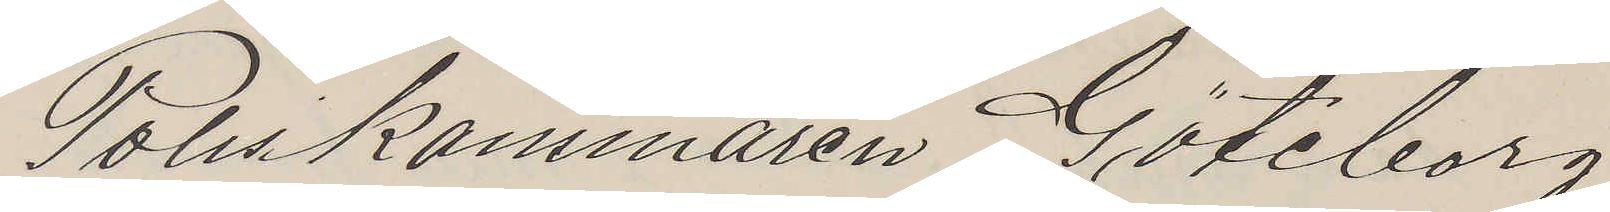Poliskammaren Göteborg.
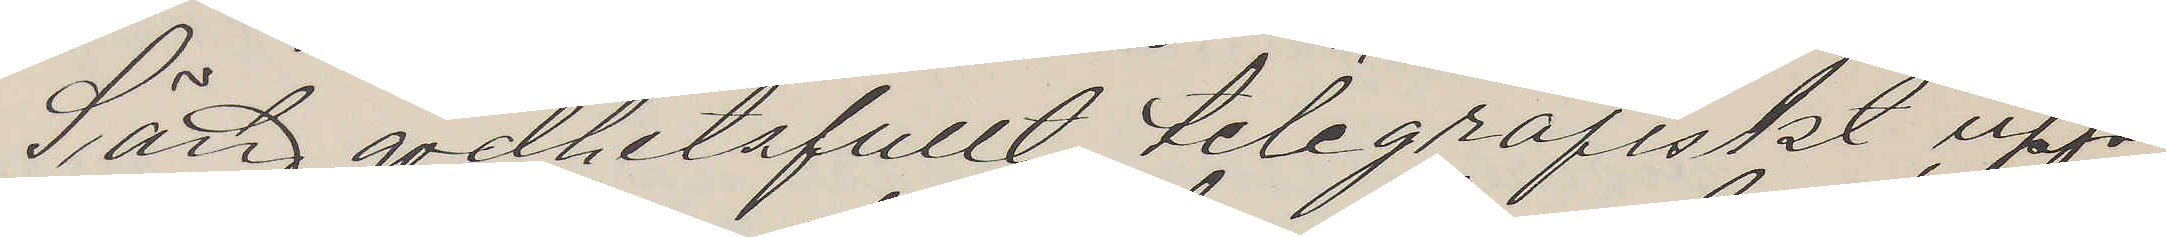Sänd godhetsfullt telegrafiskt upp¬
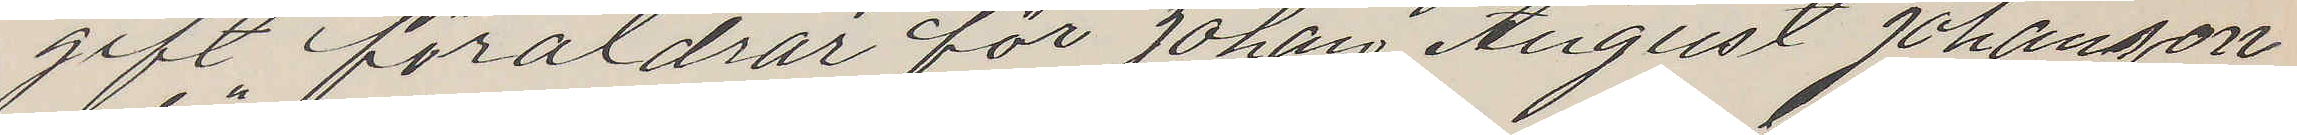gift föräldrar för Johan August Johanson
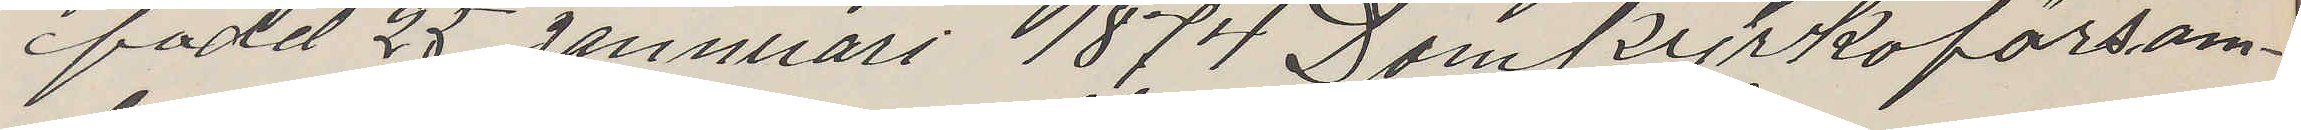född 25 Jannuari 1874 Domkrykoförsam¬
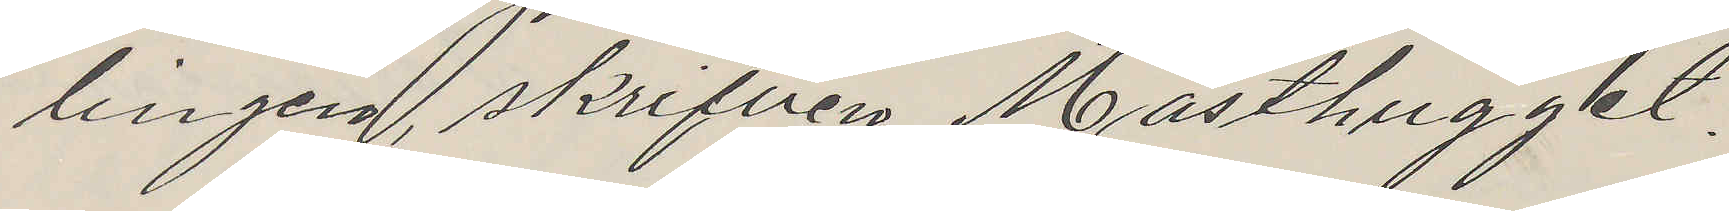lingen, skrifven Masthugget.
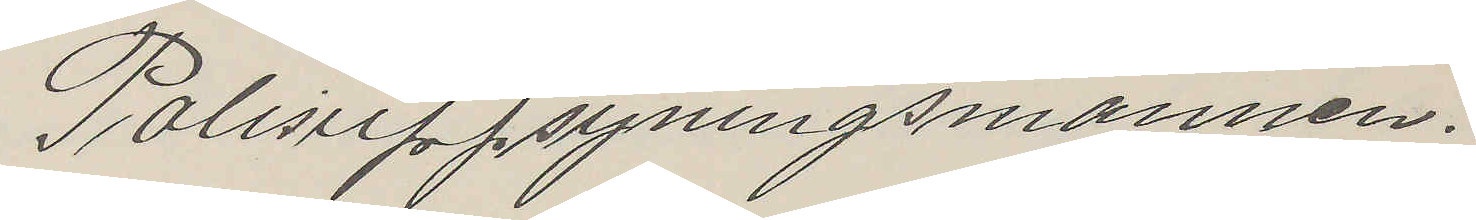Polisuppsyningsmannen.
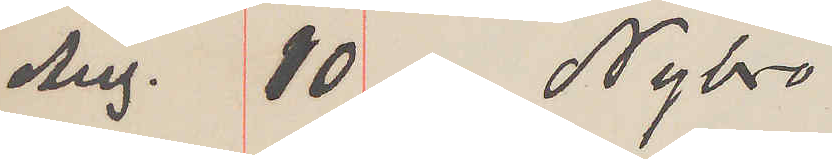Aug. 10 Nybro
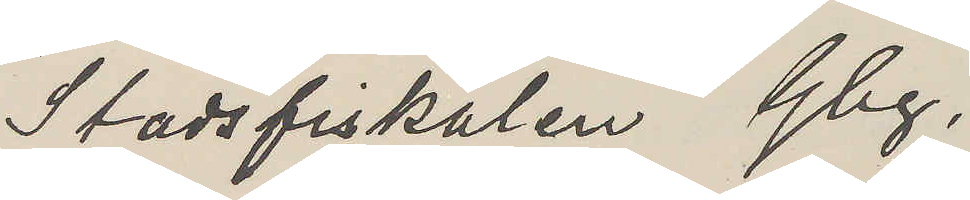Stadsfiskalen Gbg.
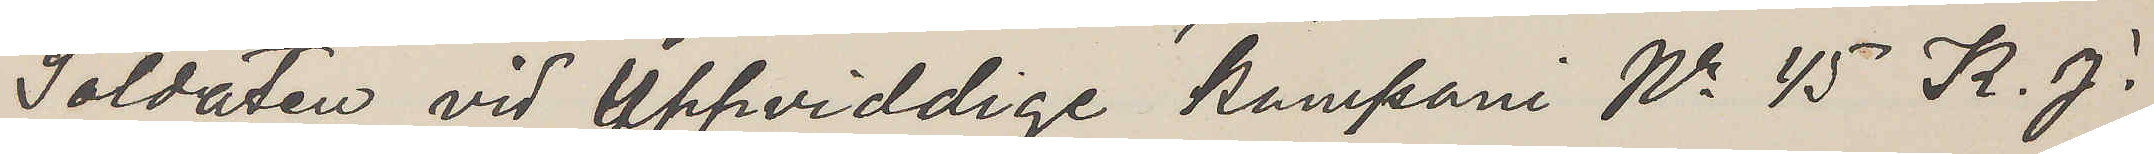Soldaten vid Uppviddige kompani Nr 45 K. J.
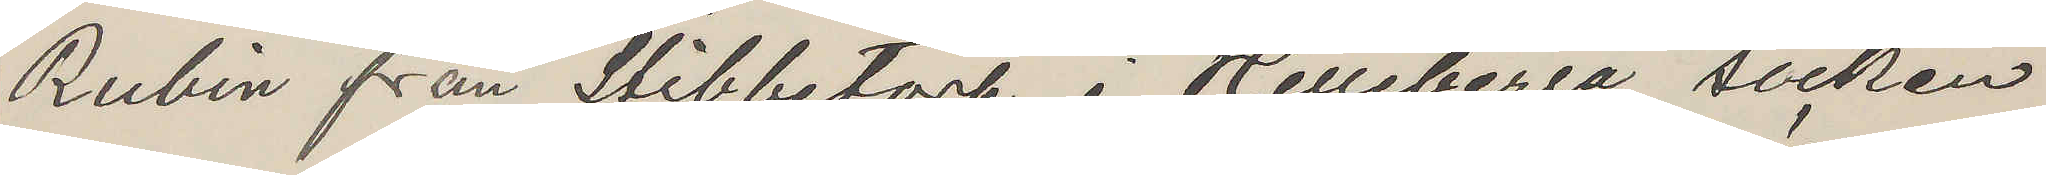Rubin från Stibbetorp i Helleberga socken
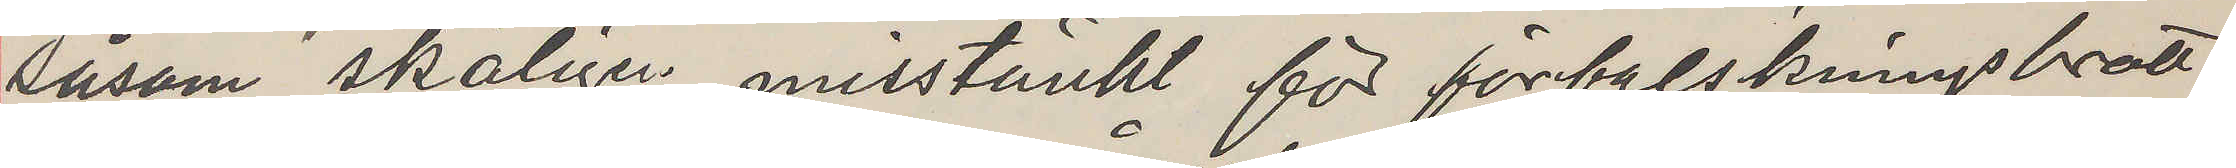såsom skäligen misstänkt för förfalskningsbrott
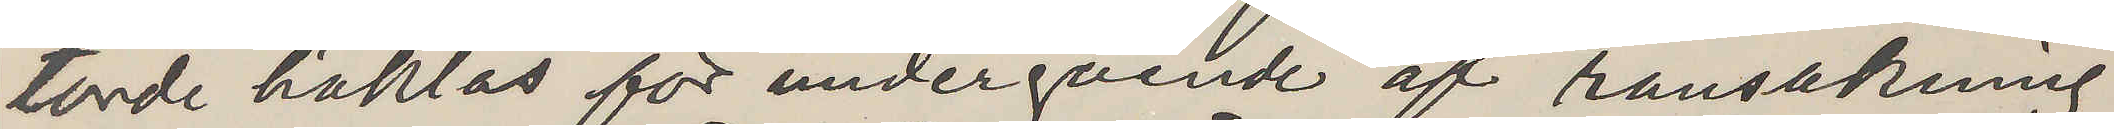torde häktas för undergående af ransakning
